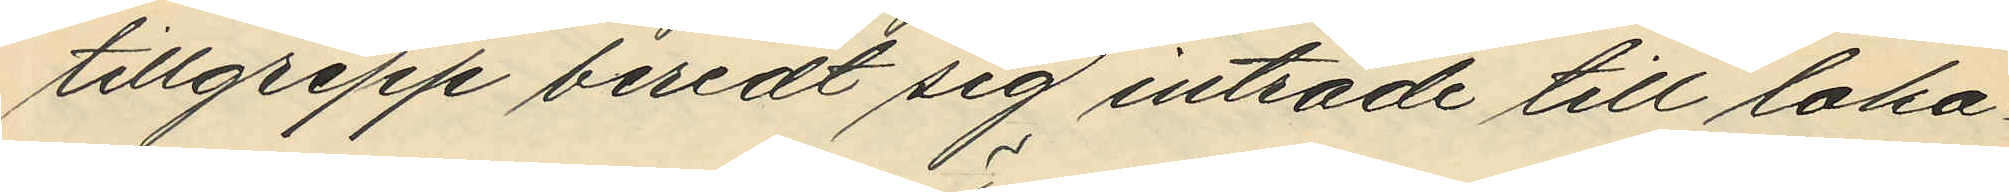tillgrepp beredt sig inträde till loka¬
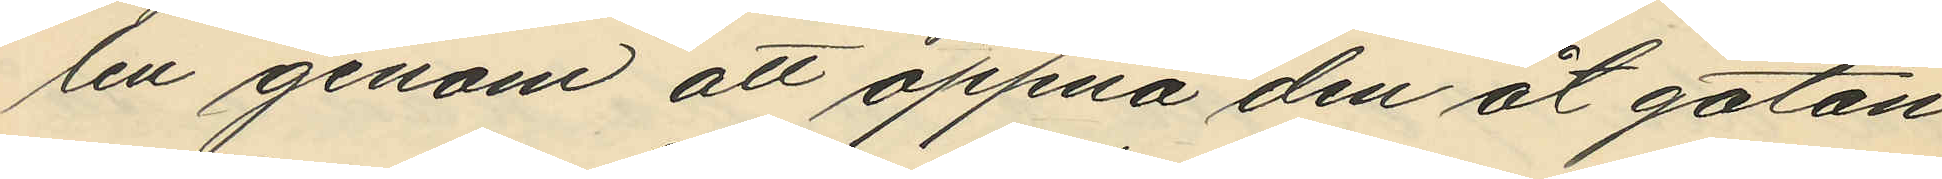len genom att öppna den åt gatan
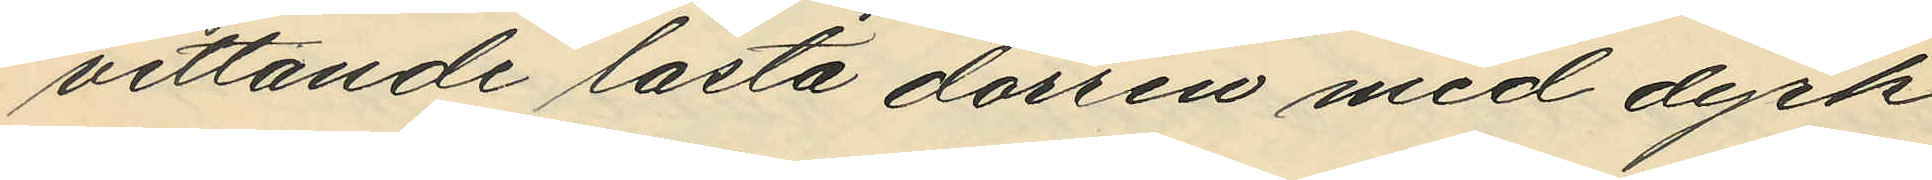vettande låsta dörren med dyrk
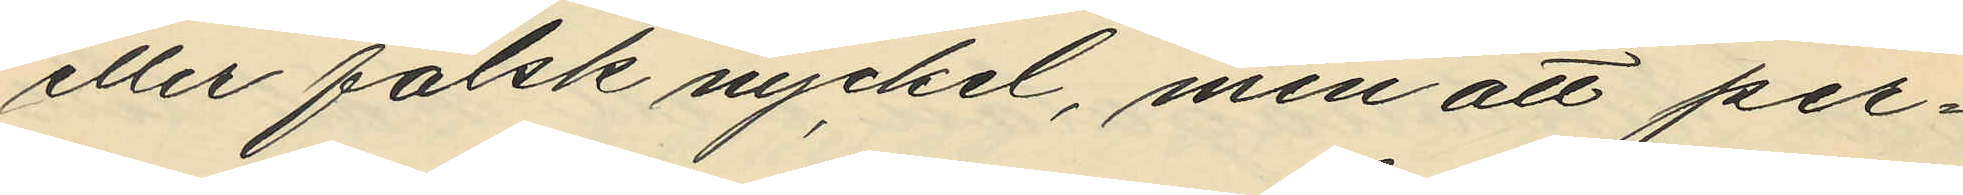eller falsk nyckel, men att per¬
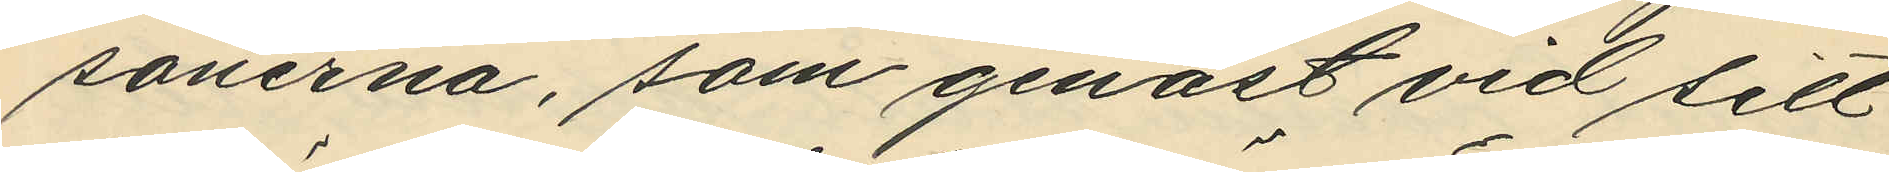sonerna, som genast vid sitt
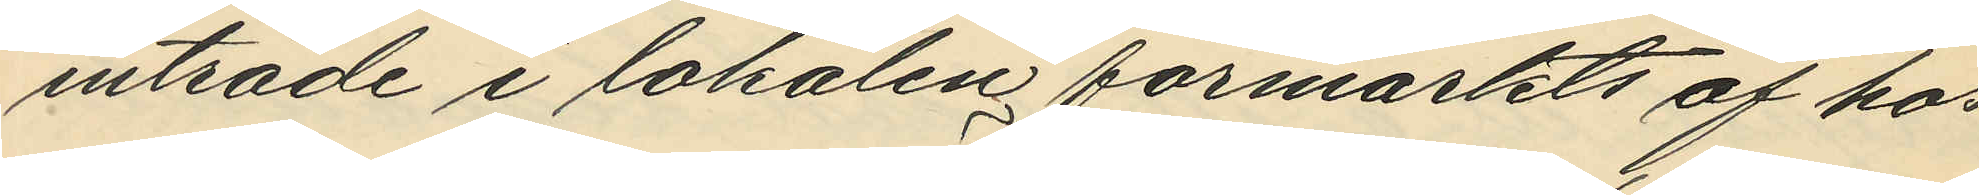inträde i lokalen förmärkts af hos
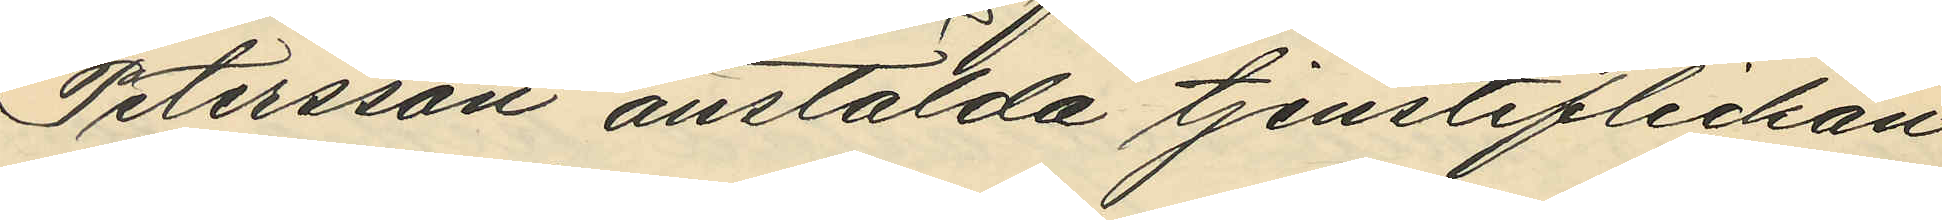Petersson anstälda tjensteflickan
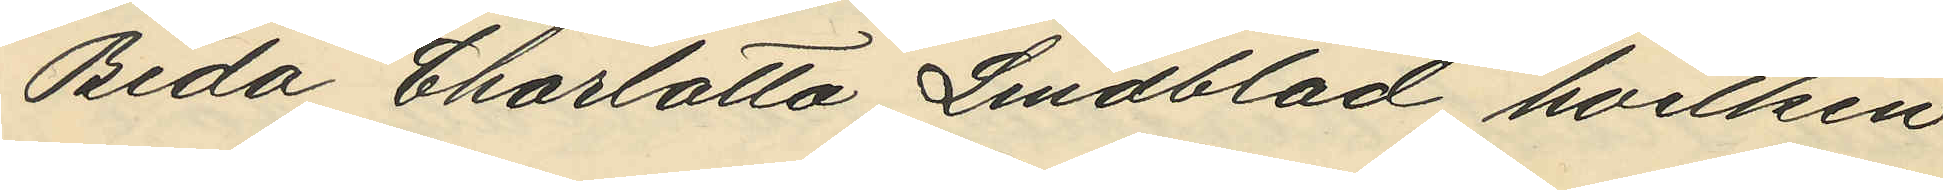Beda Charlotta Lindblad, hvilken
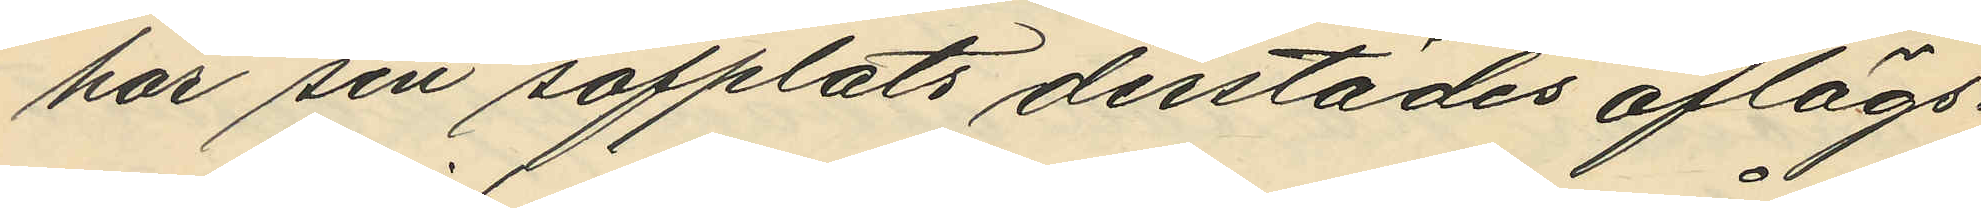har sin sofplats derstädes aflägs¬
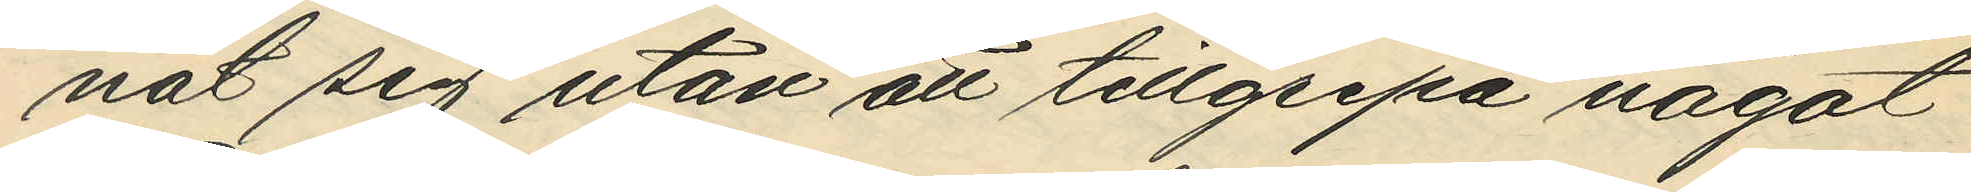nat sig utan att tillgripa något
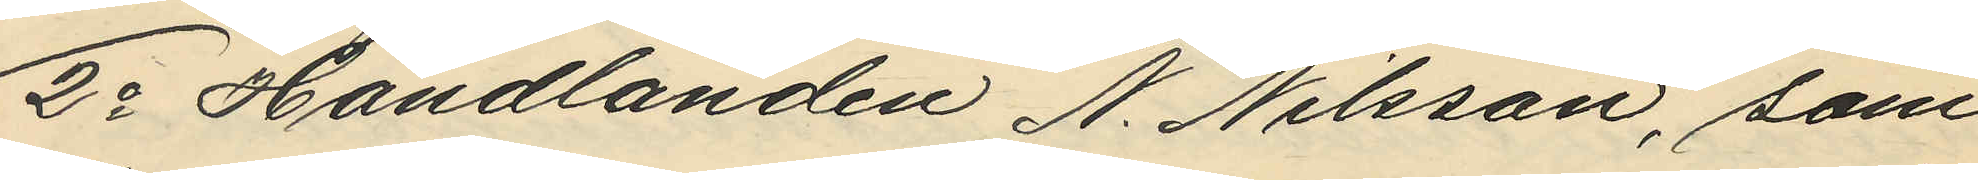2o Handlanden N. Nilsson, som
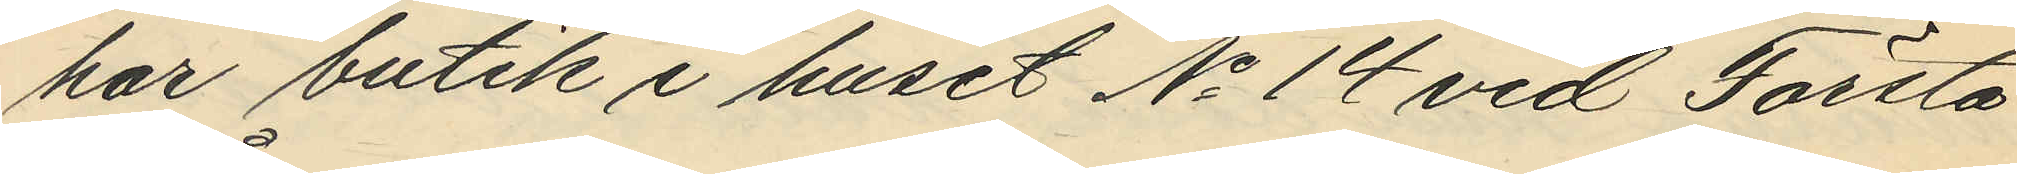har butik i huset No 14 vid Första
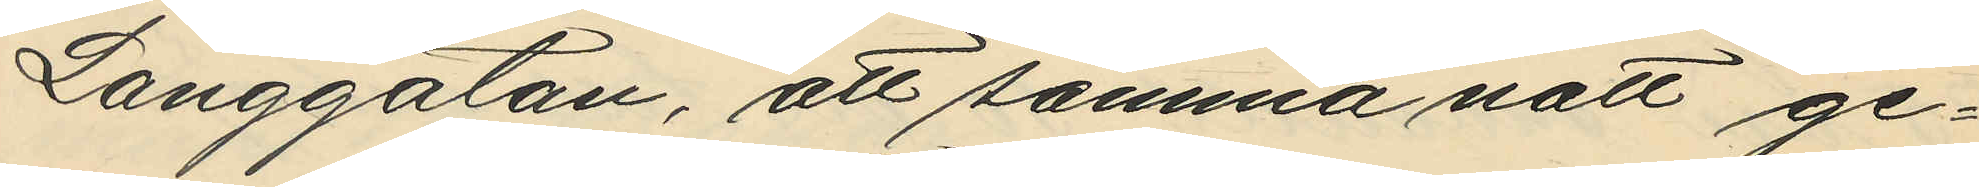Långgatan, att samma natt ge¬
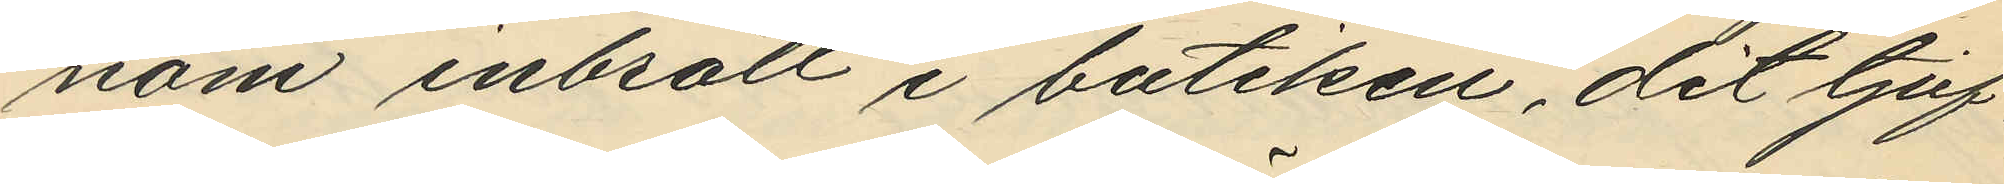nom inbrott i butiken, dit tjuf¬
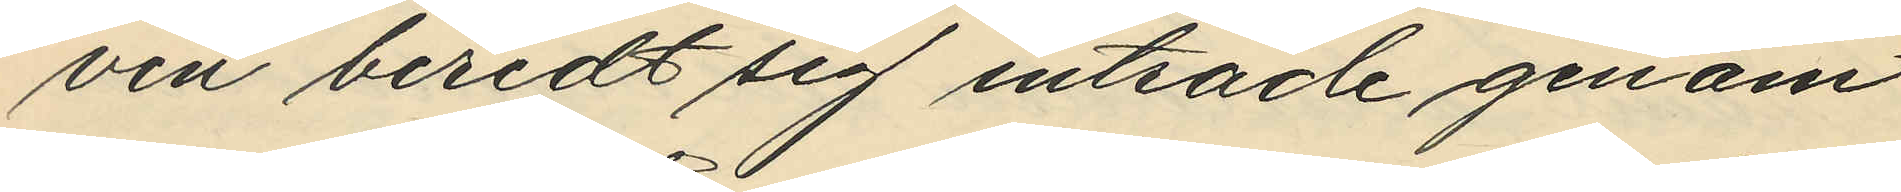ven beredt sig inträde genom
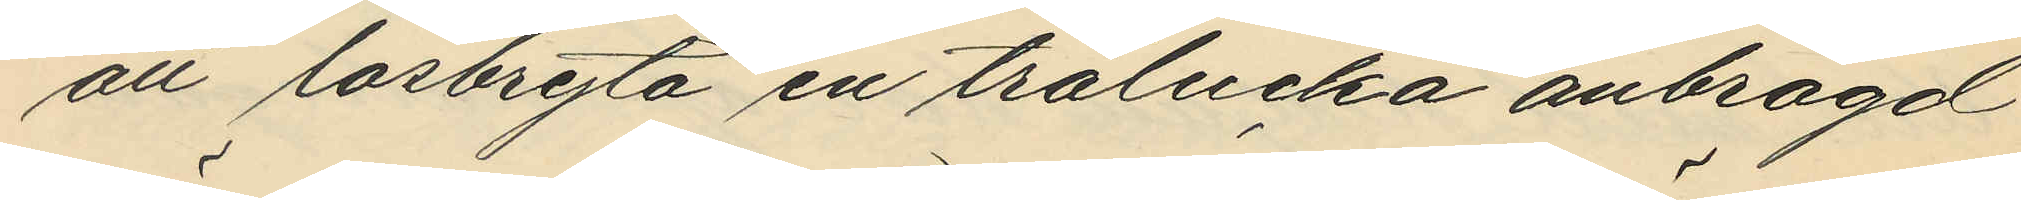att lösbryta en trälucka anbragd
